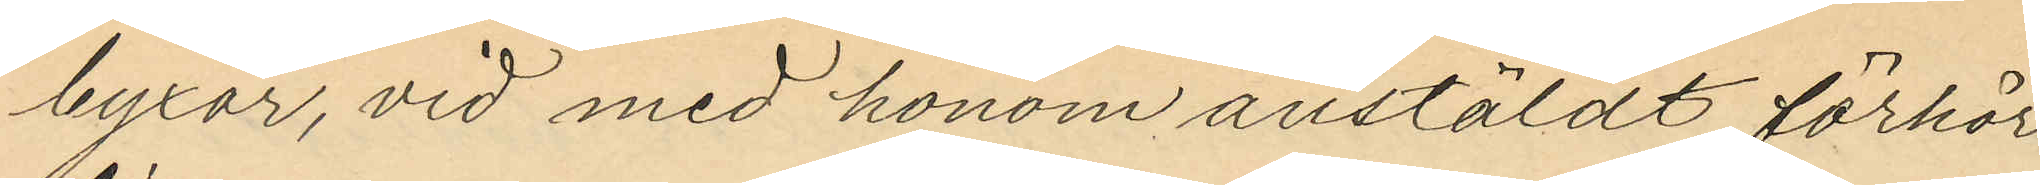byxor, vid med honom anstäldt förhör
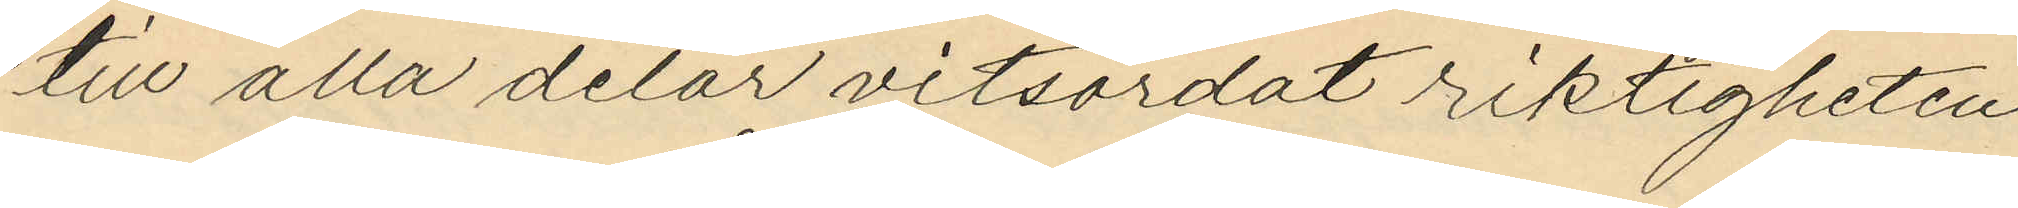till alla delar vitsordat riktigheten
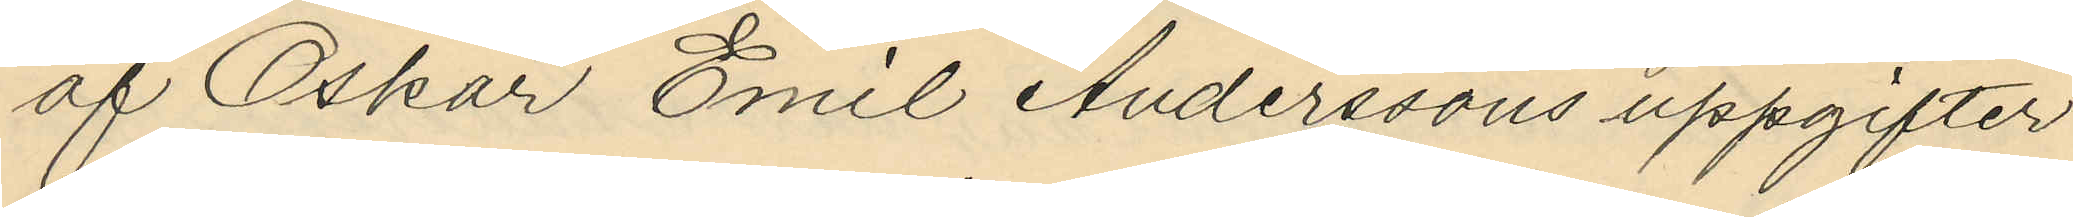af Oskar Emil Anderssons uppgifter
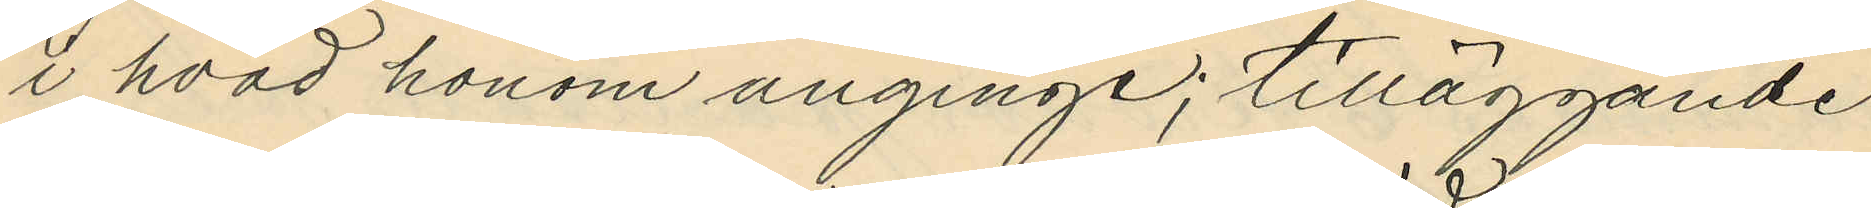i hvad honom anginge; tilläggande
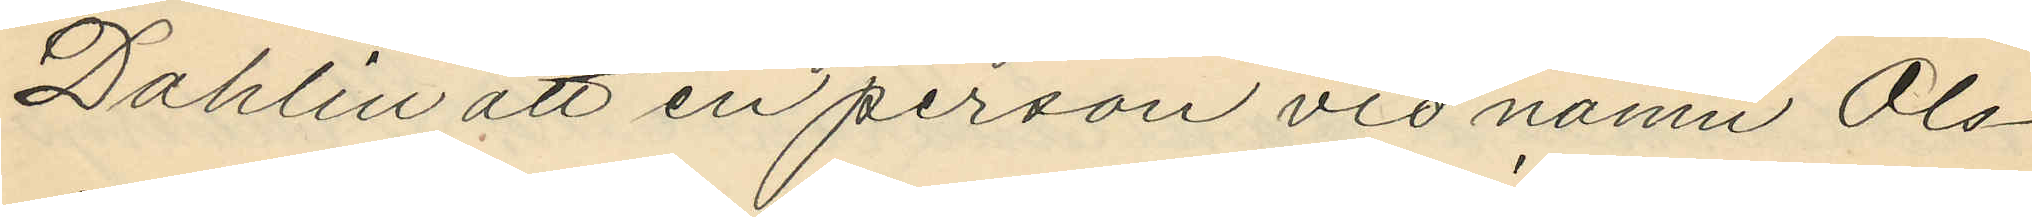Dahlin att en person vid namn Ols¬
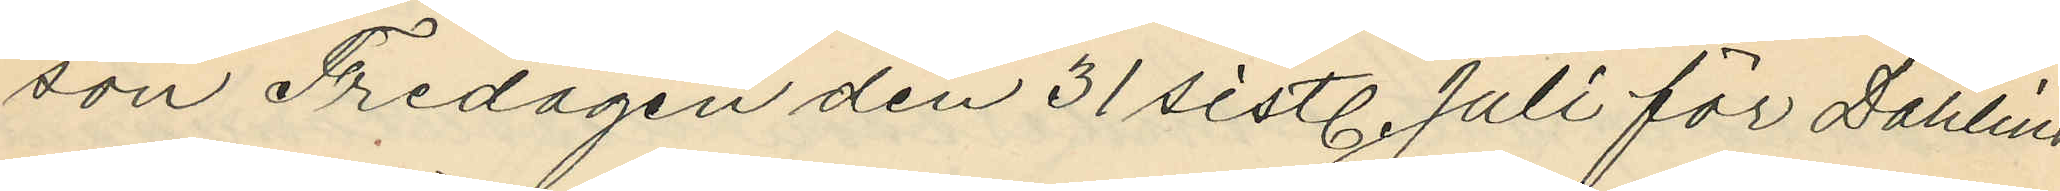son Fredagen den 31 sistl. Juli för Dahlins
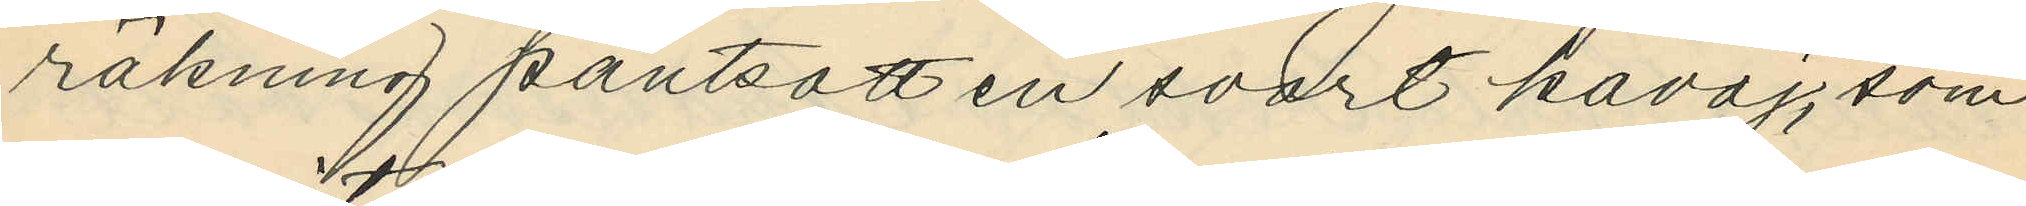räkning pantsatt en svart kavaj, som
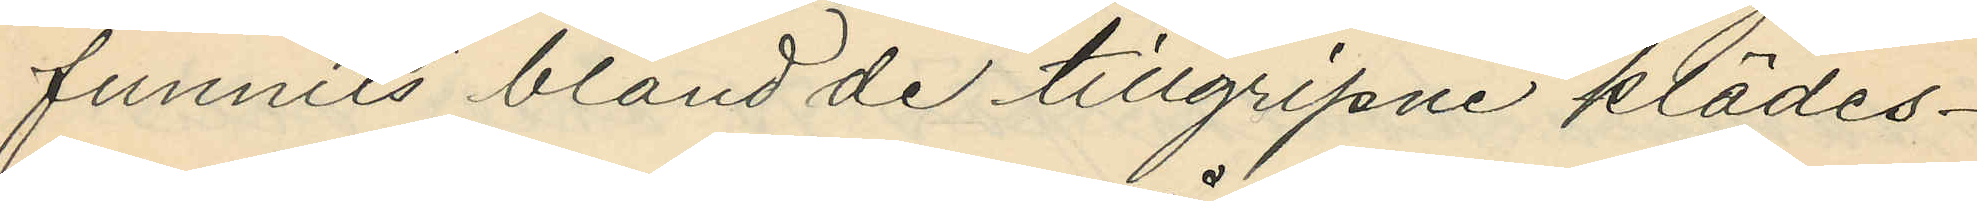funnits bland de tillgripne klädes¬
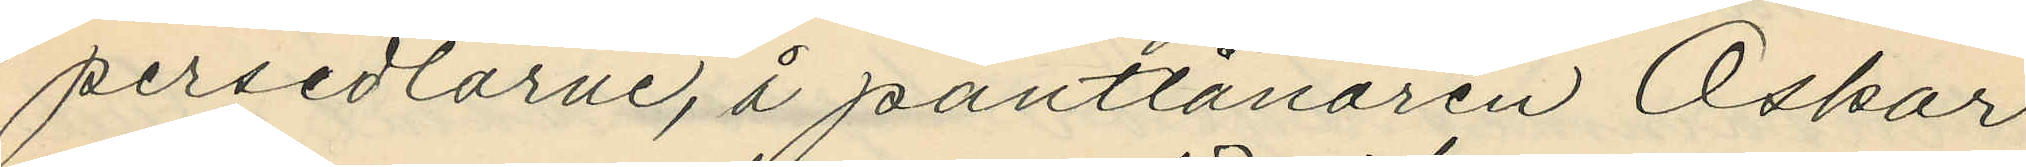persedlarne, å pantlånaren Oskar
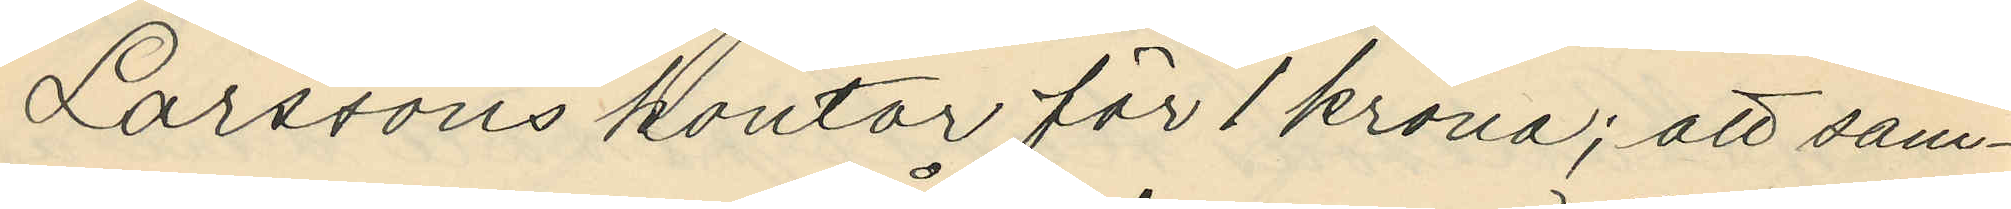Larssons kontor för 1 krona; att sam¬
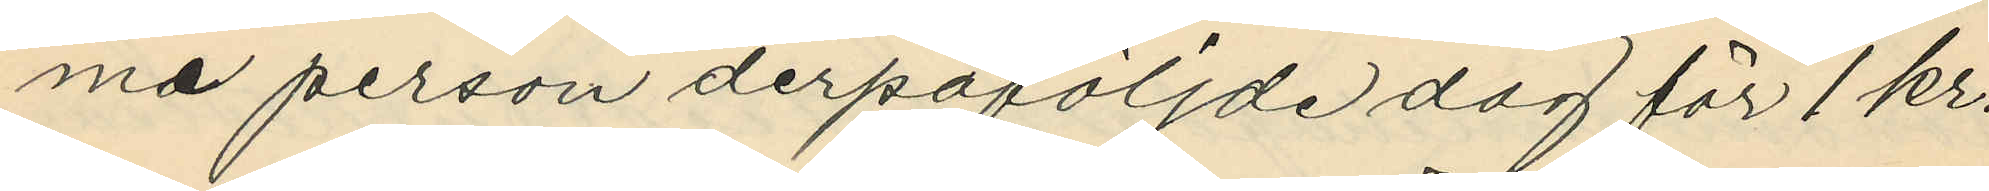ma person derpåföljde dag för 1 kr.
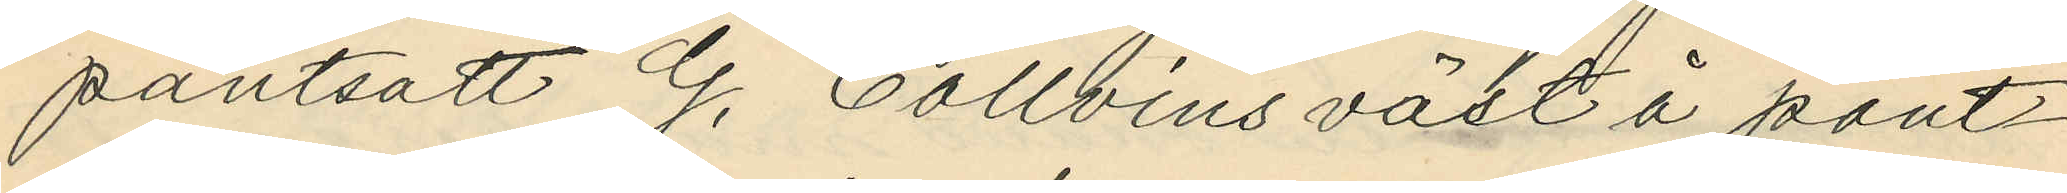pantsatt G. Collvins väst å pant¬
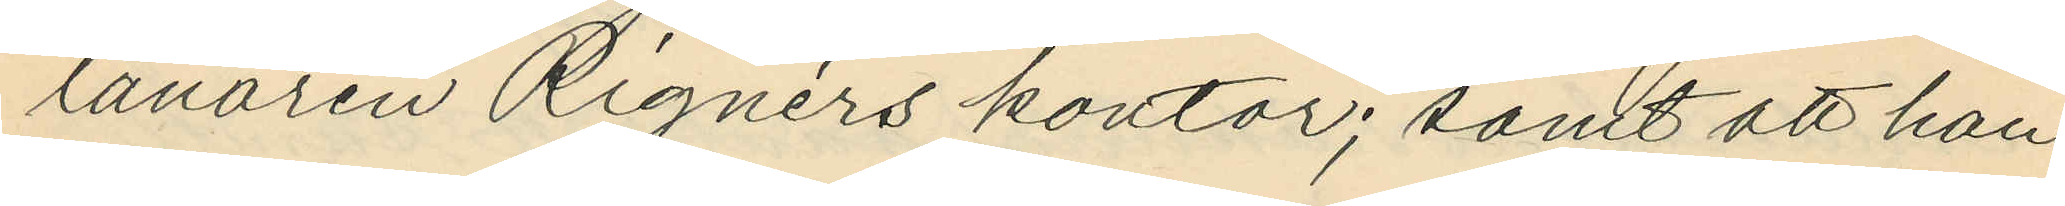lånaren Rignérs kontor; samt att han
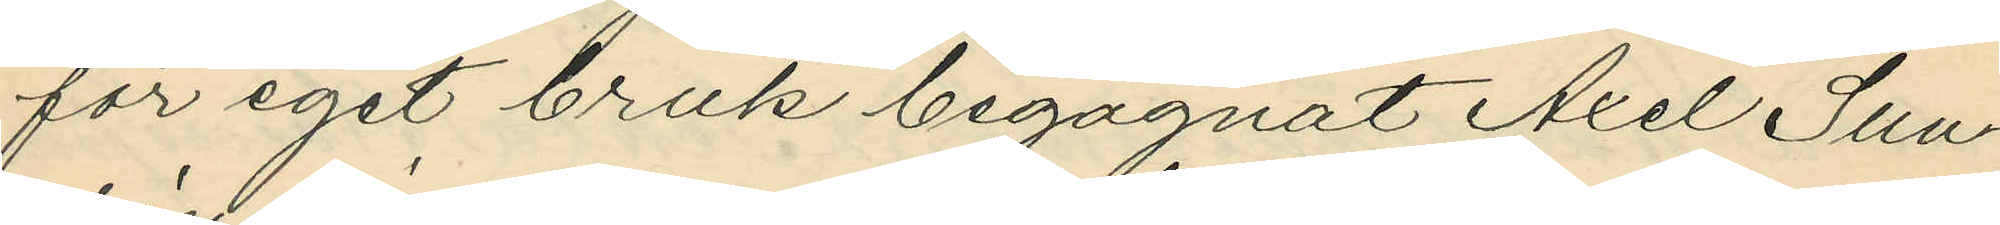för eget bruk begagnat Axel Sun¬
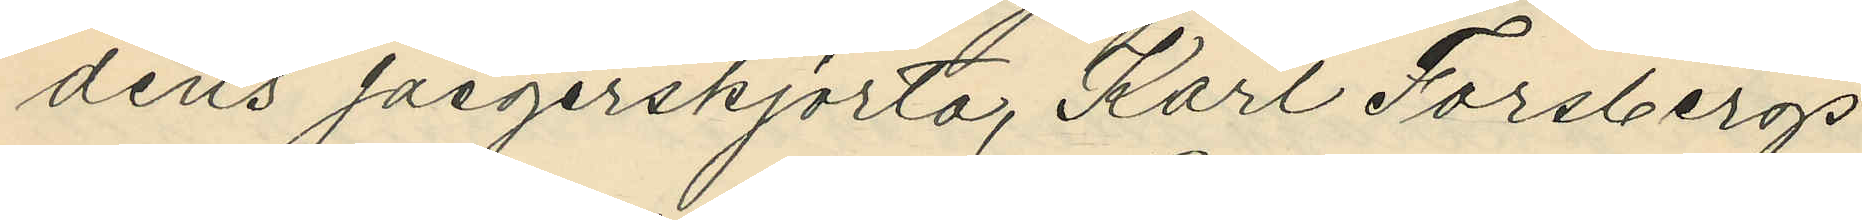déns jaegerskjorta, Karl Forsbergs
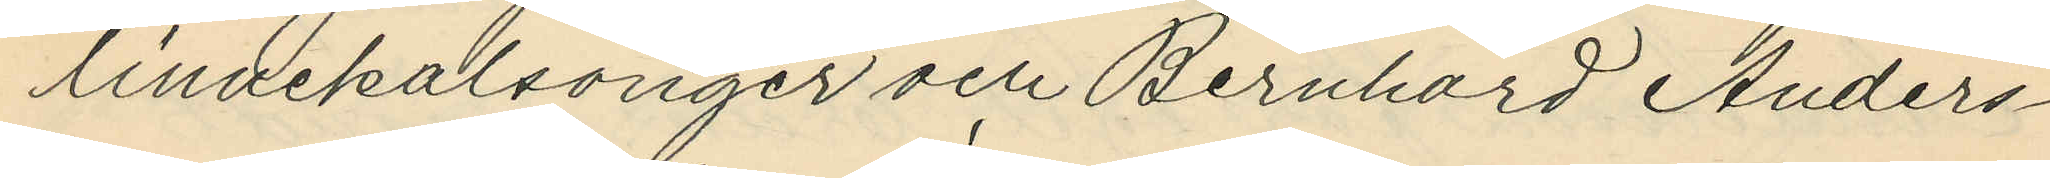linnekalsonger och Bernhard Anders¬
